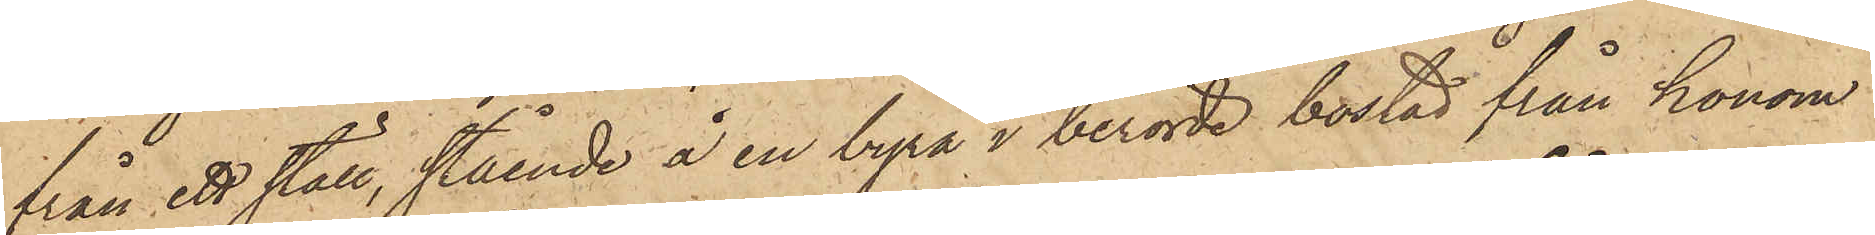från ett ställ, stående å en byrå i berörde bostad från honom
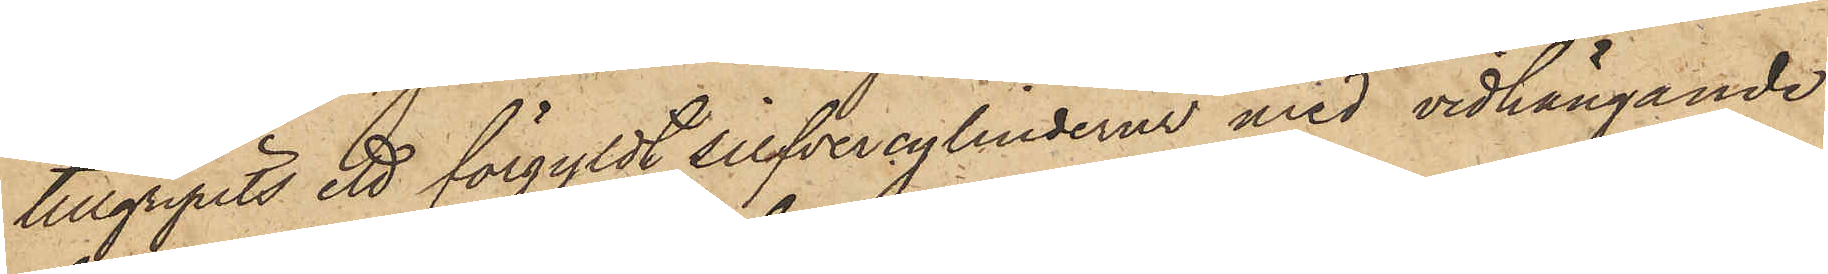tillgripits ett förgyldt silfvercylinderur med vidhängande
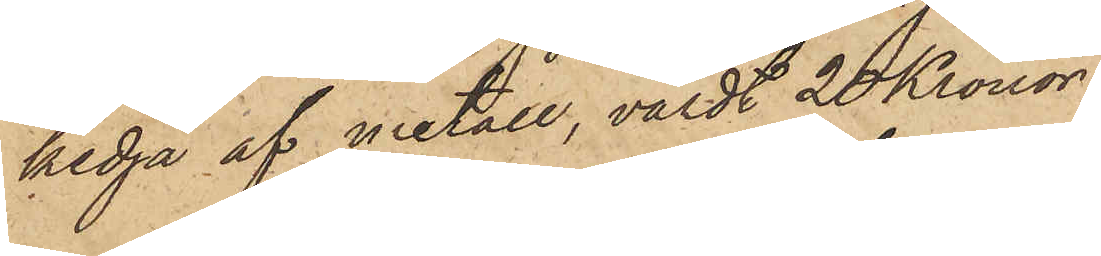kedja af metall, värdt 20 Kronor.
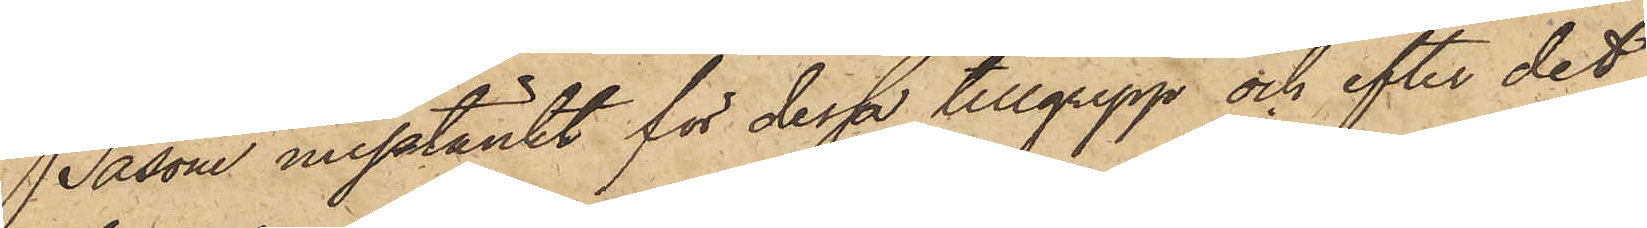Såsom misstänkt för dessa tillgrepp och efter det
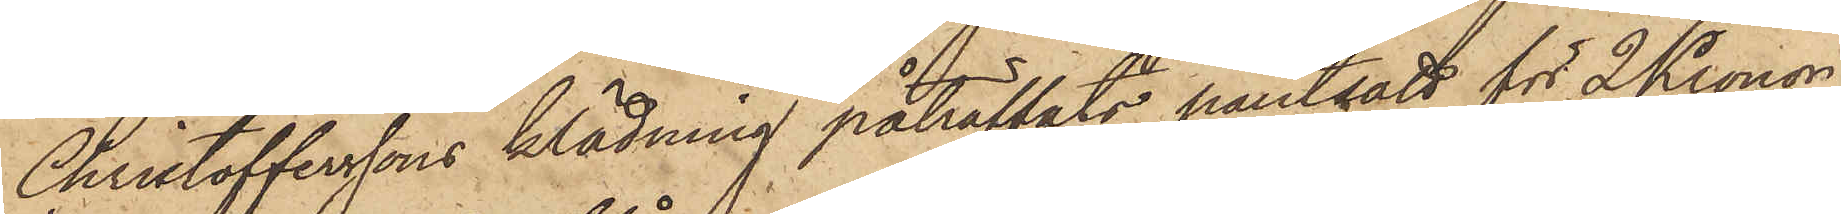Christofferssons klädning påträffats pantsatt för 2 Kronor
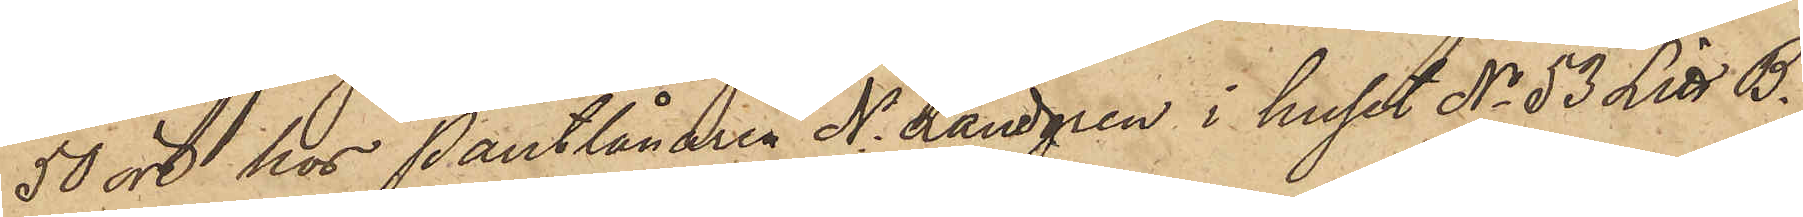50 öre hos Pantlånaren N. Landgren i huset No 53 Litt. B.
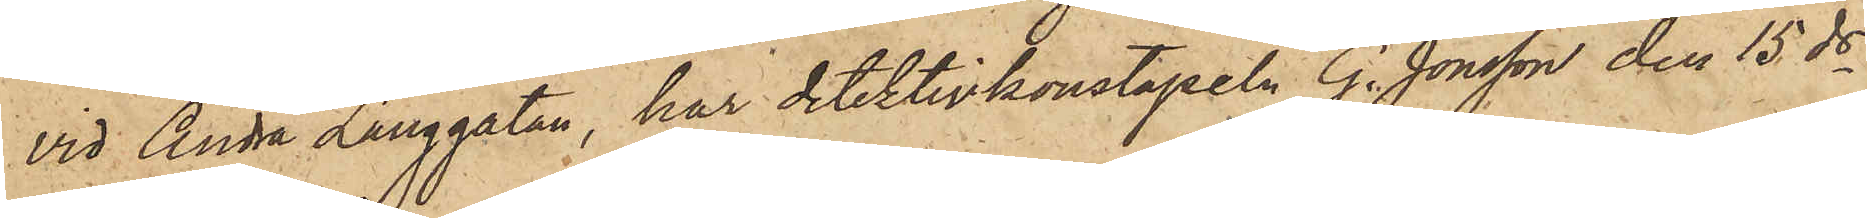vid Andra Långgatan, har detektivkonstapeln G. Jönsson den 15 ds
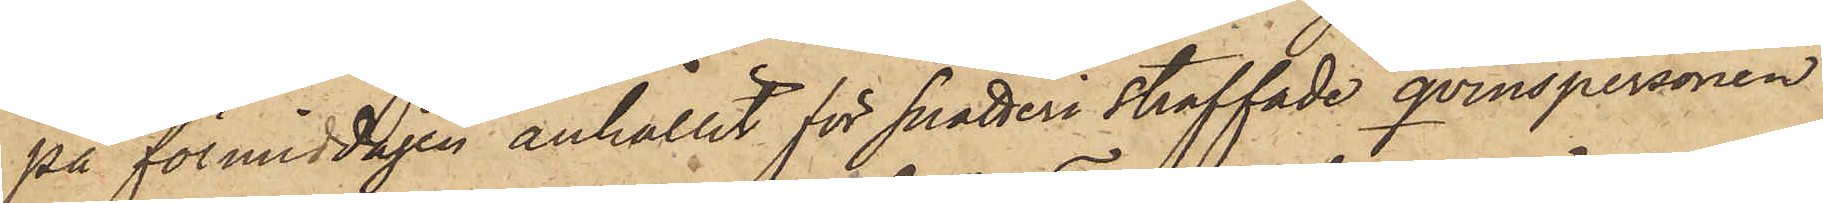på förmiddagen anhållit för snatteri straffade qvinspersonen
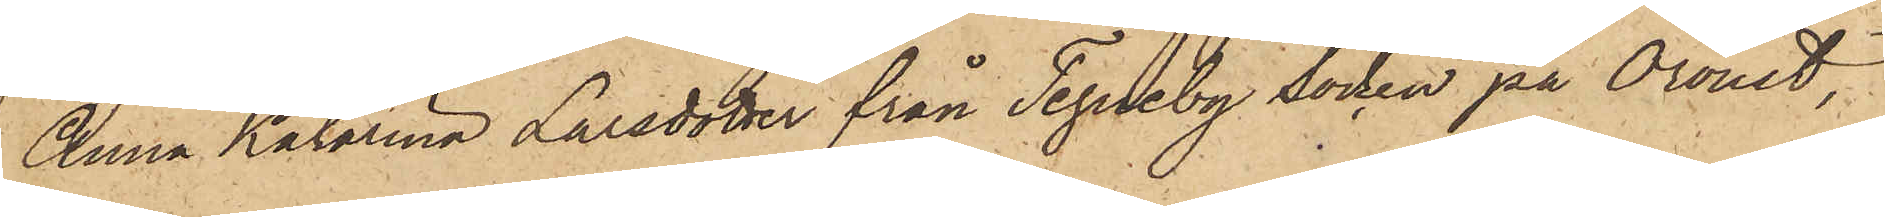Anna Katarina Larsdotter från Tegneby Socken på Oroust,
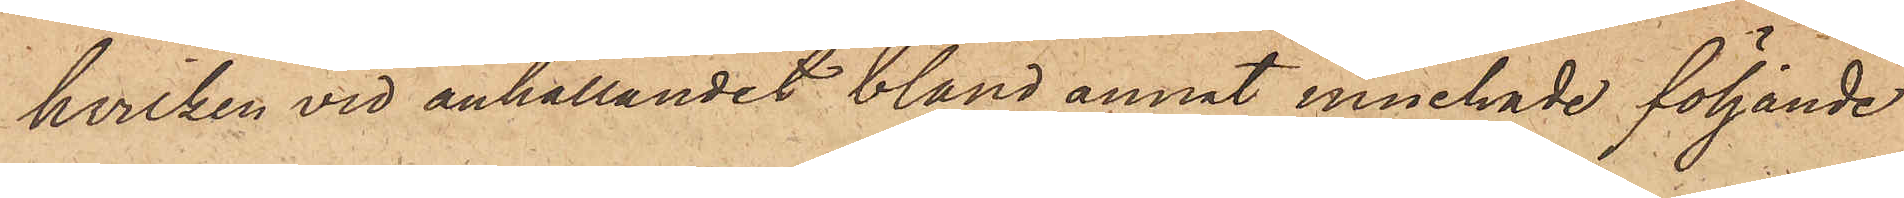hvilken vid anhållandet bland annat innehade följande
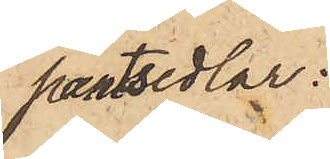pantsedlar:
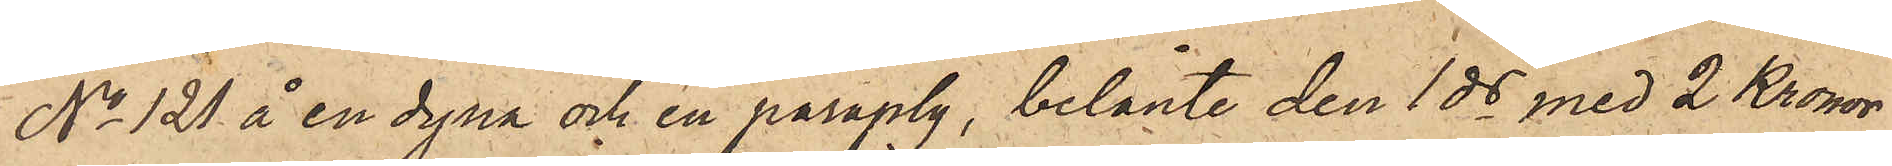No 121 å en dyna och en paraply, belånte den 1 ds med 2 Kronor
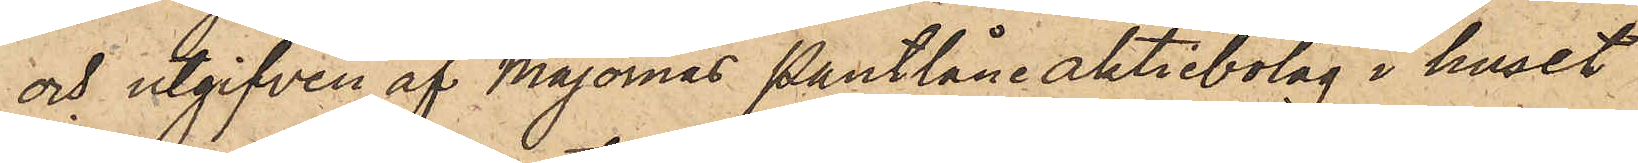och utgifven af Majornas Pantlåneaktiebolag i huset
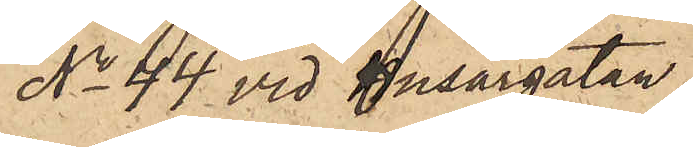No 44 vid Husargatan;
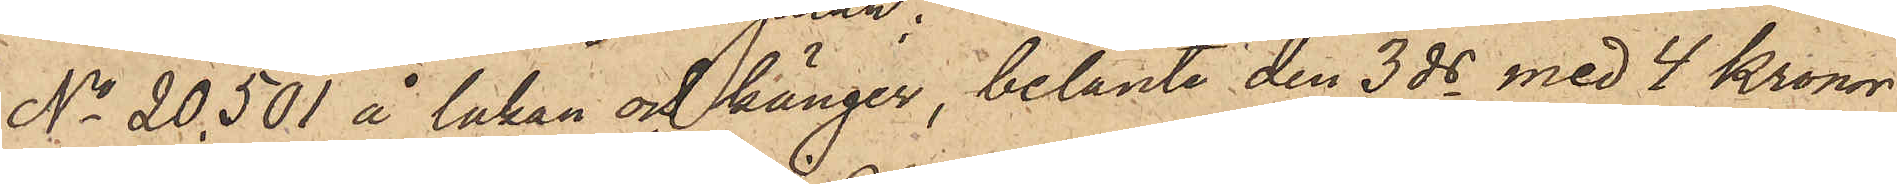No 20.501 å lakan och känger, belånte den 3 ds med 4 Kronor
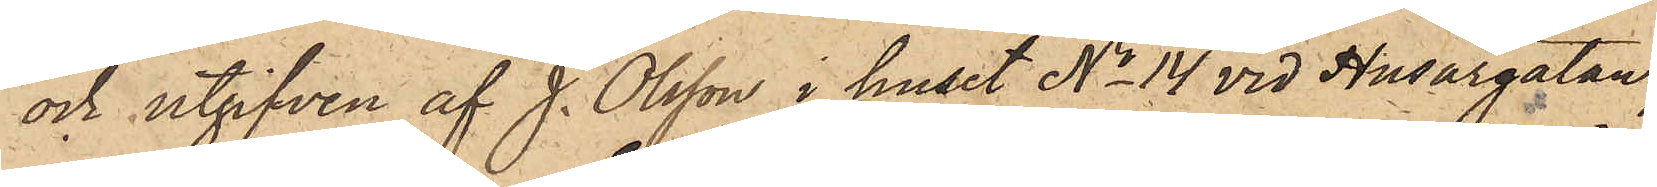och utgifven af J. Olsson i huset No 14 vid Husargatan;
